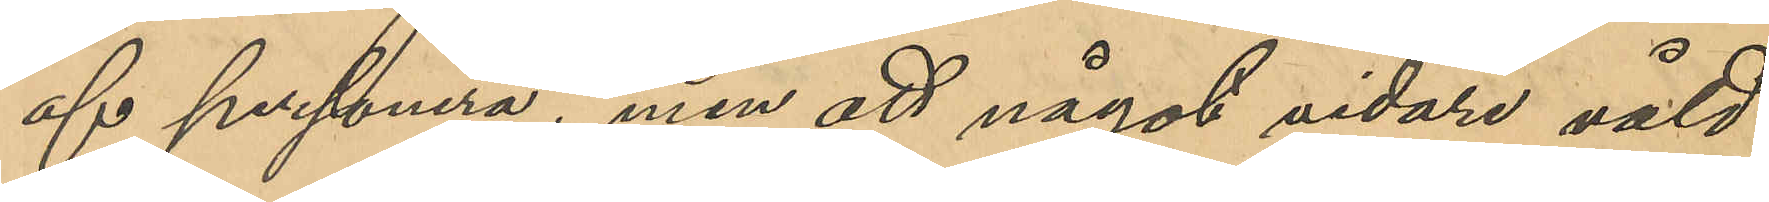af personerna, men att något vidare våld 
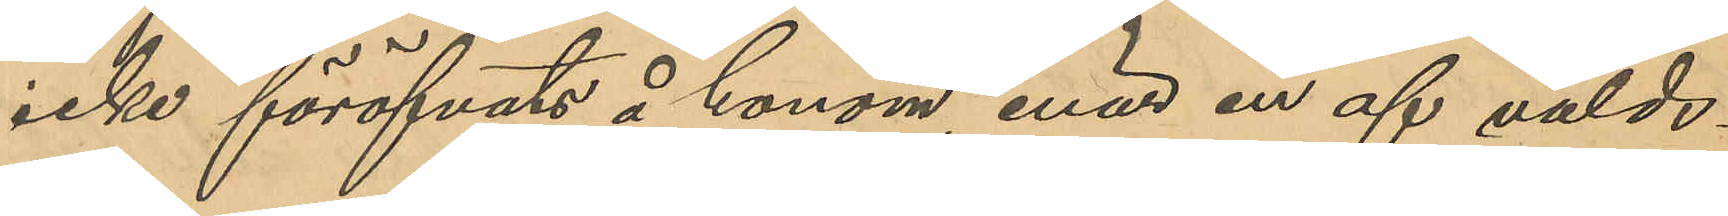icke föröfvats å honom, enär en af vålds¬
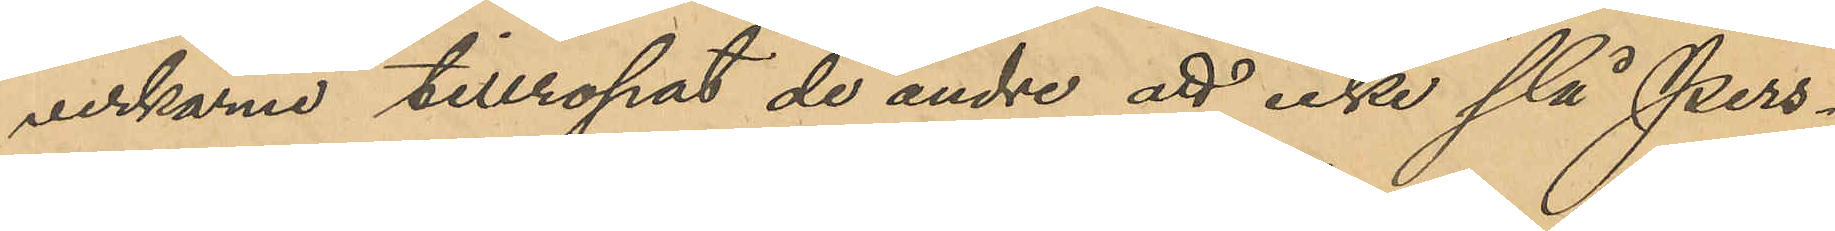verkarne tillropat de andre att icke slå Pers¬
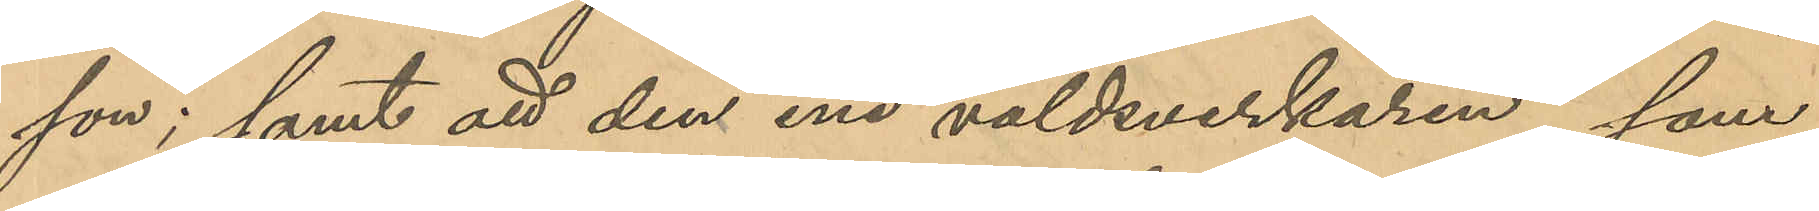son; samt att den ene våldsverkaren, som
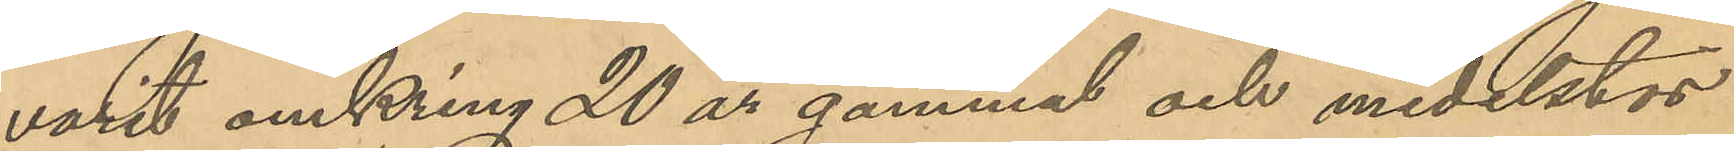varit omkring 20 år gammal och medelstor
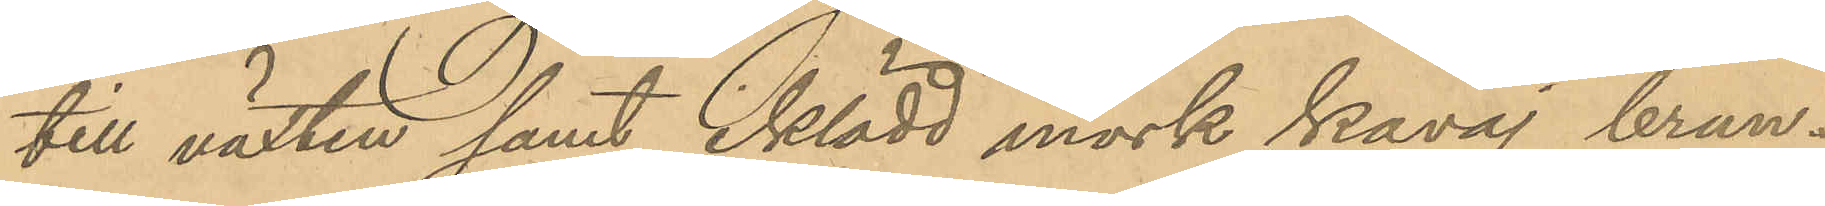till växten samt iklädd mörk kavaj brun¬
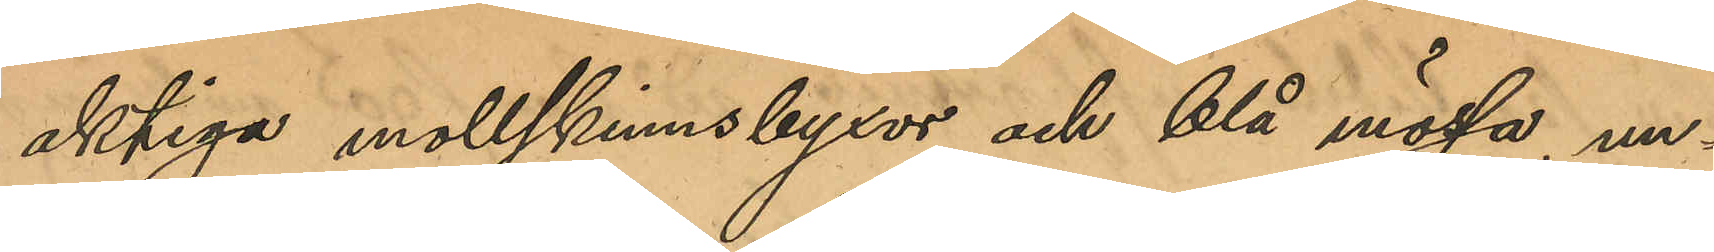aktiga mollskinnsbyxor och blå mössa, un¬
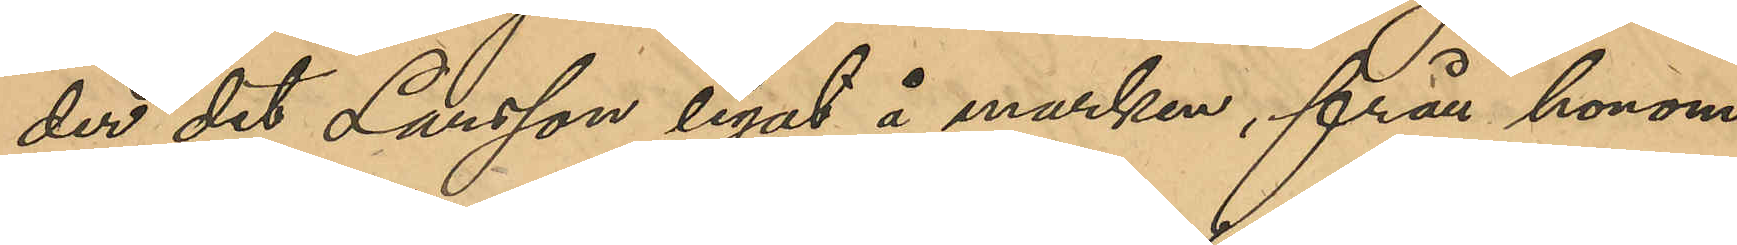der det Larsson legat å marken, från honom
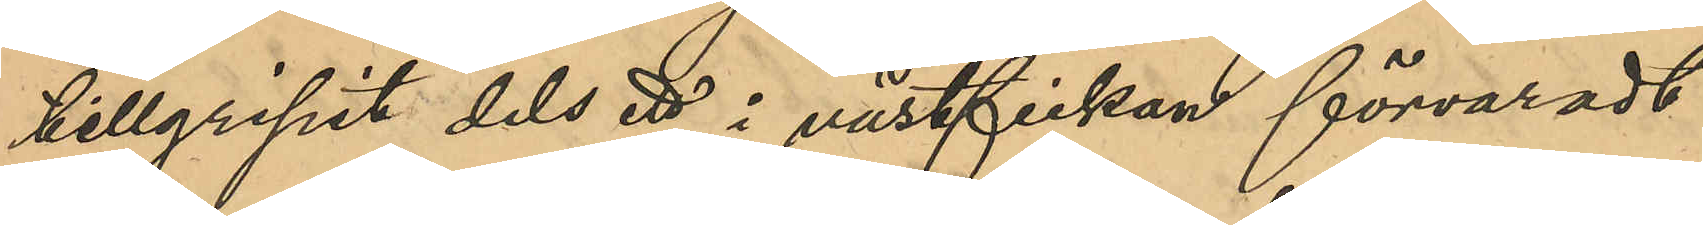tillgripit dels ett i västfickan förvaradt
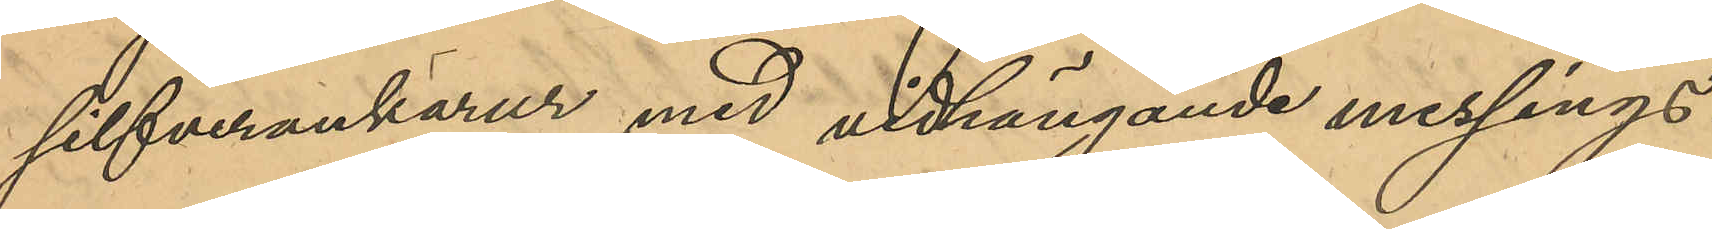silfverankarur med vidhängande messings¬
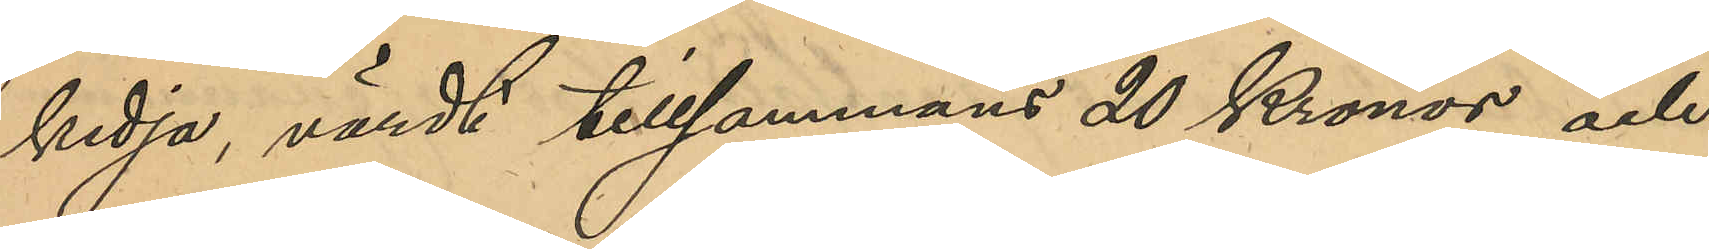kedja, värdt tillsammans 20 Kronor och
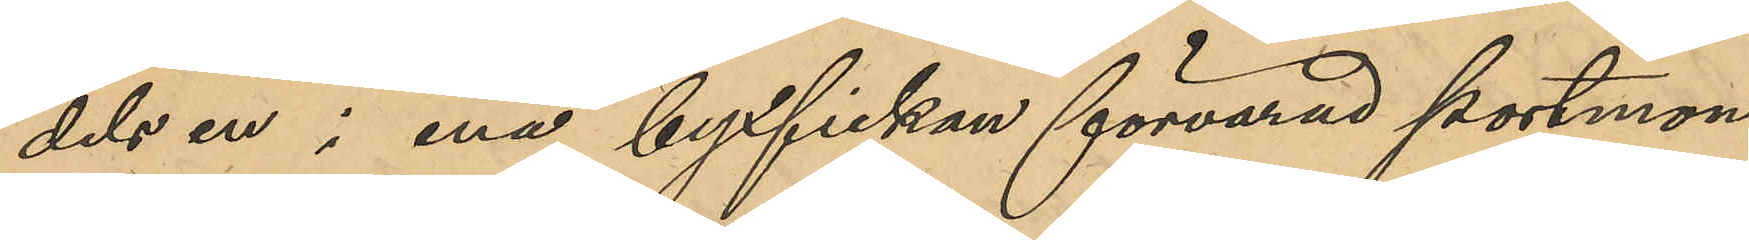dels en i ena byxfickan förvarad portmon¬
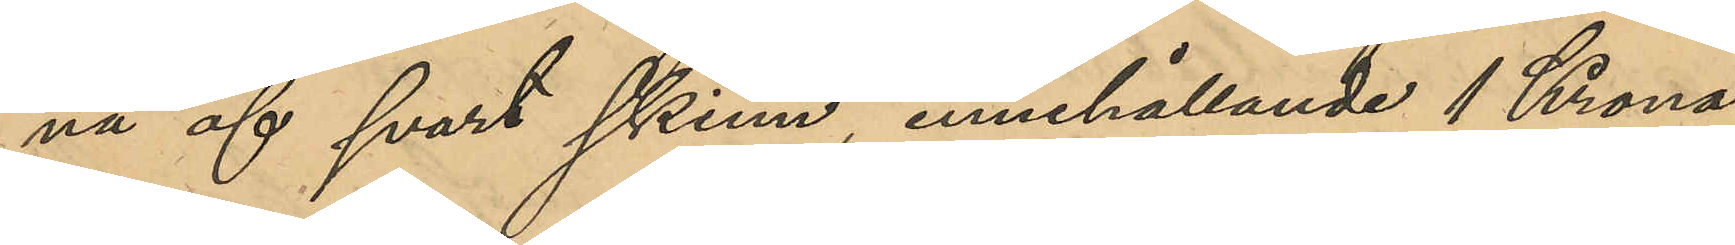nä af svart skinn, innehållande 1 Krona
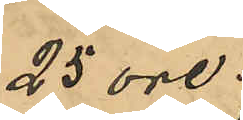25 ore.
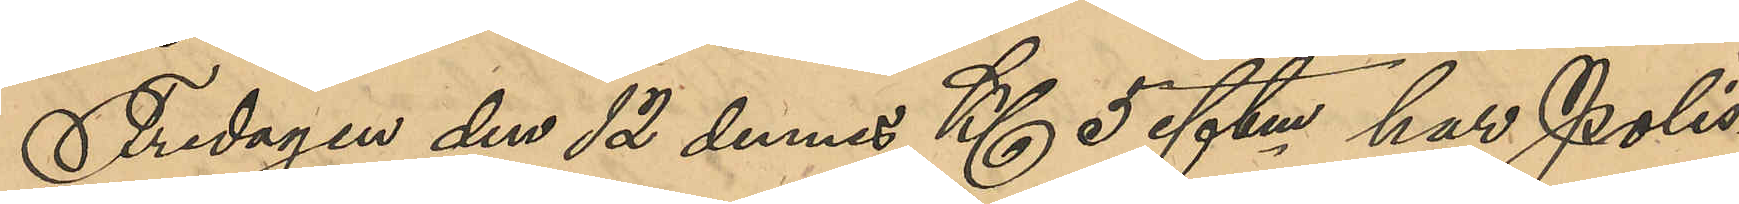Fredagen den 12 dennes Kl 5 eftm har Polis¬
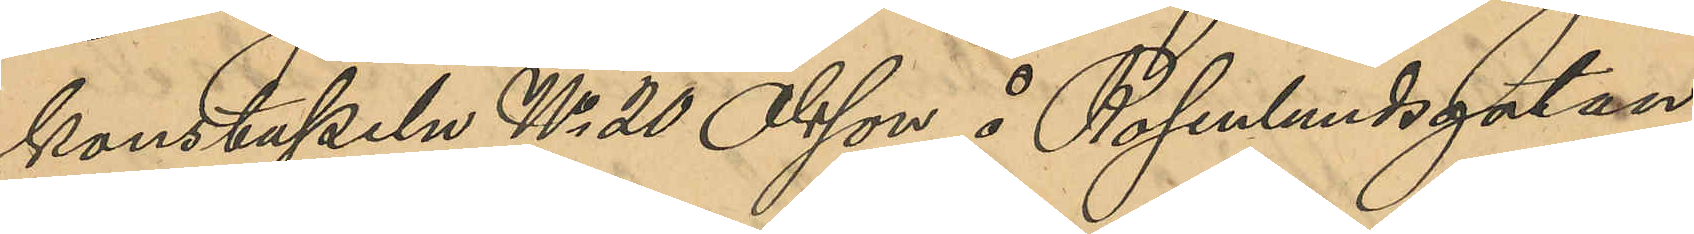konstapeln No 20 Olsson å Rosenlundsgatan
